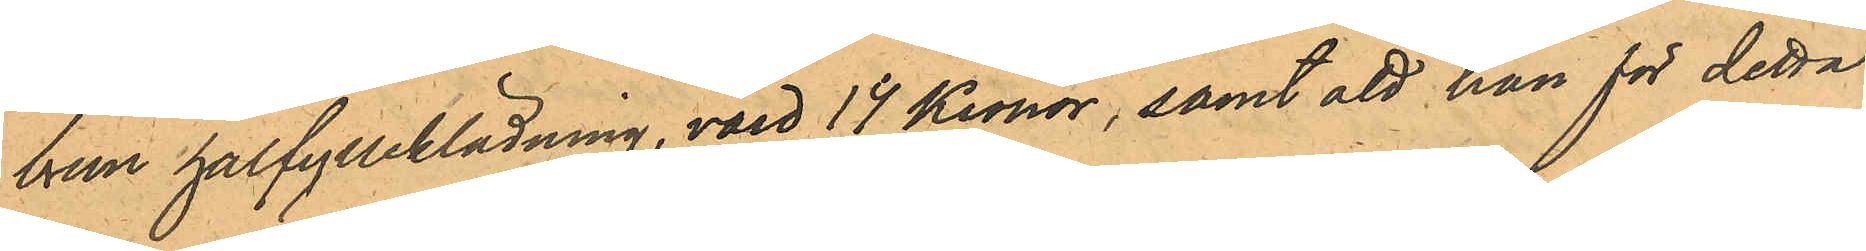brun halfylleklädning, värd 14 Kronor, samt att han för detta
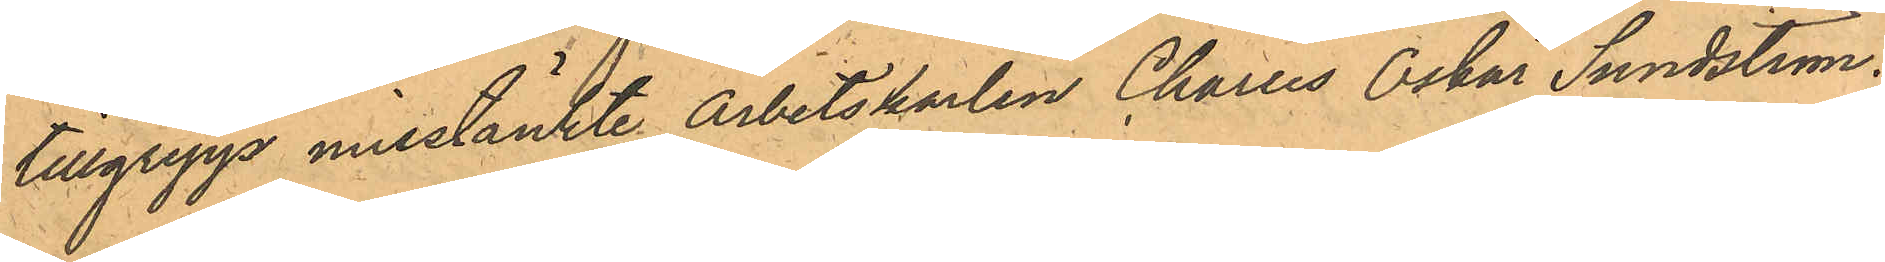tillgrepp misstänkte arbetskarlen Charles Oskar Sundström.
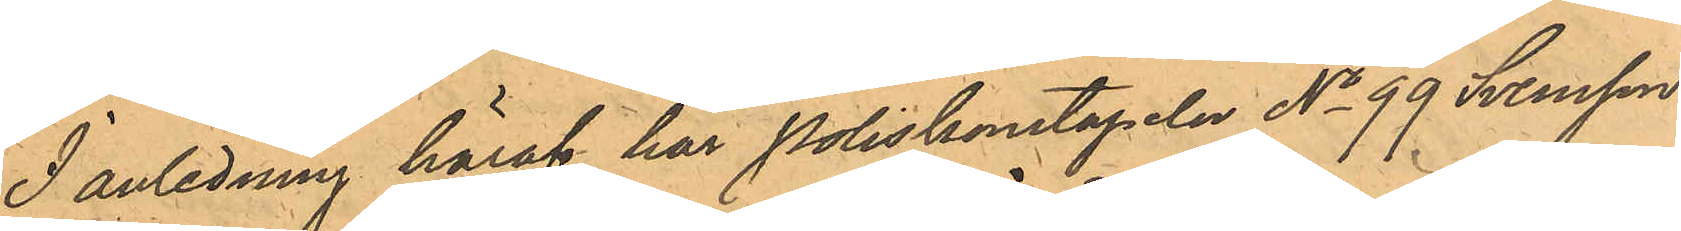I anledning häraf har Poliskonstapeln No 99 Svensson
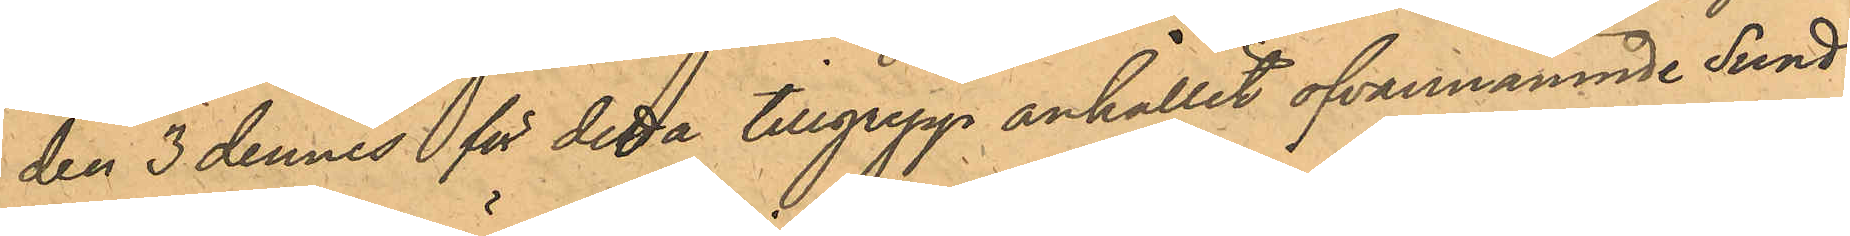den 3 dennes för detta tillgrepp anhållit ofvannämnde Sund¬
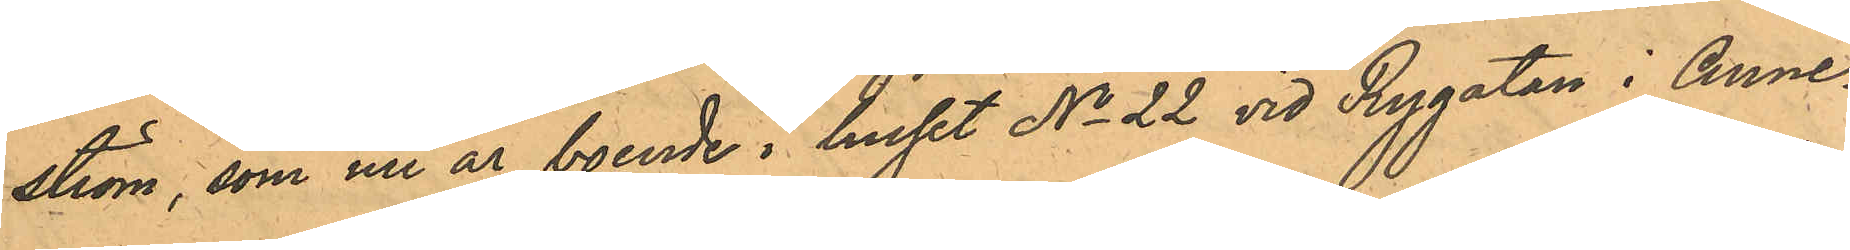ström, som nu är boende i huset No 22 vid Rygatan i Anne¬
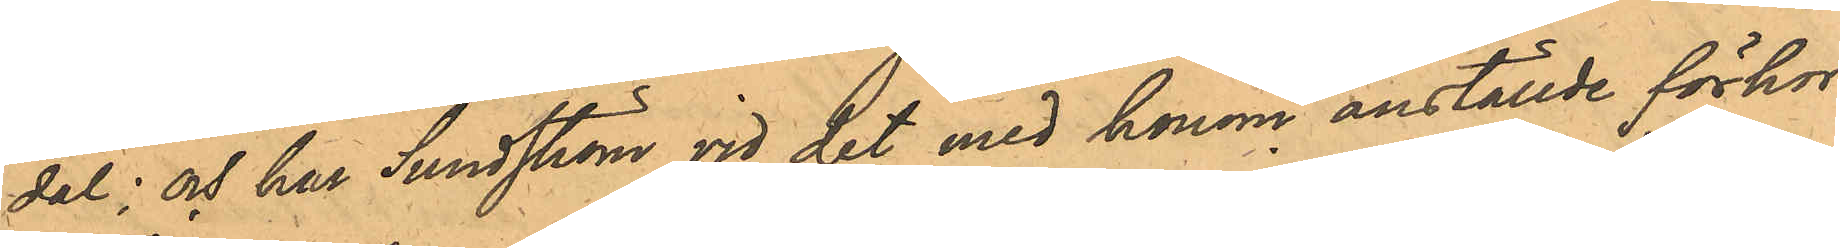dal; och har Sundström vid det med honom anställde förhör
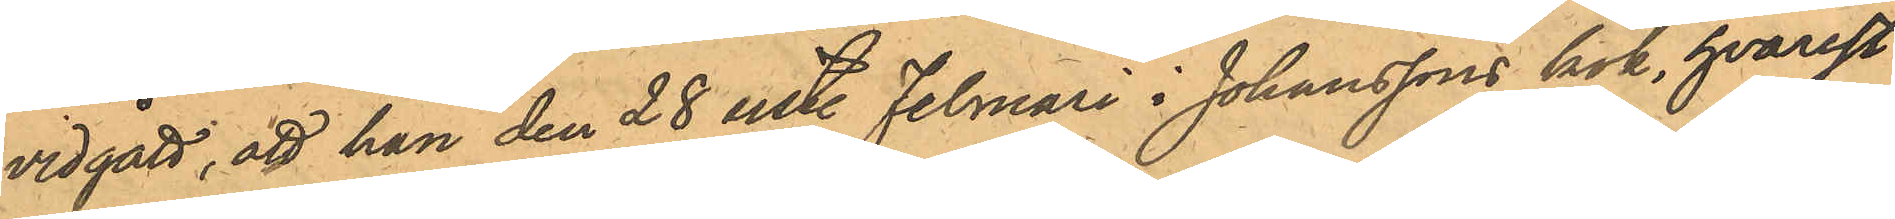vidgått, att han den 28 sist. Februari i Johanssons kök, hvarest
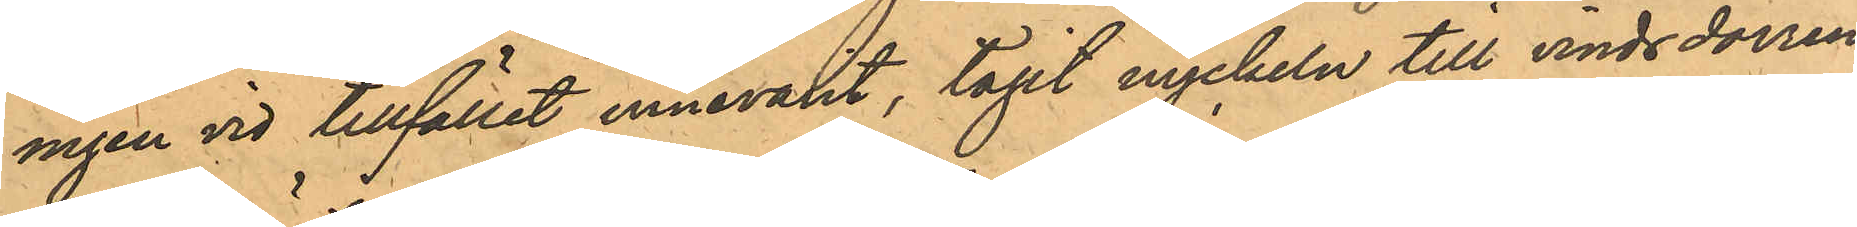ingen vid tillfället innevarit, tagit nyckeln till vindsdörren,
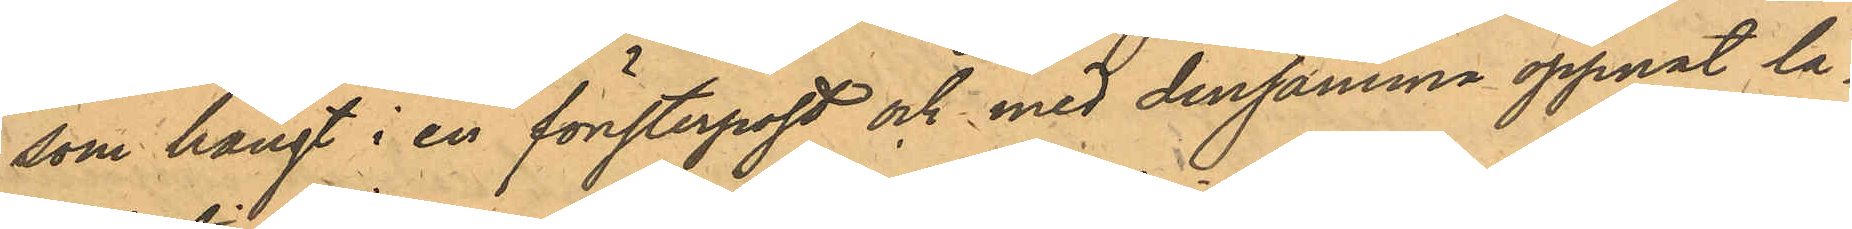som hängt i en fönsterpost och med densamma öppnat lå¬
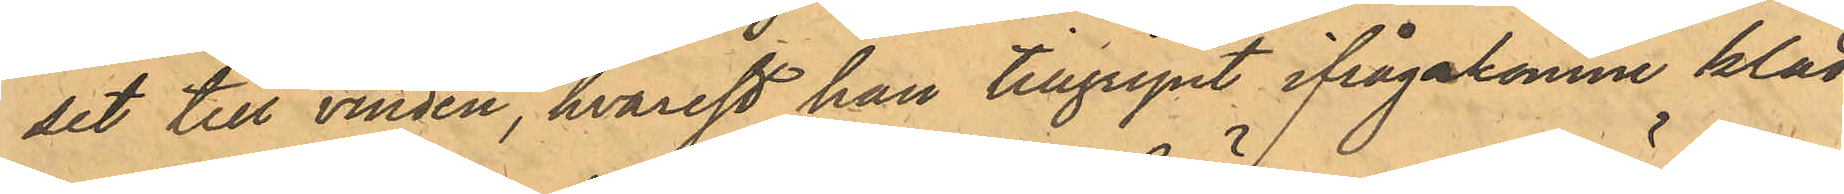set till vinden, hvarest han tillgripit ifrågakomne kläd¬
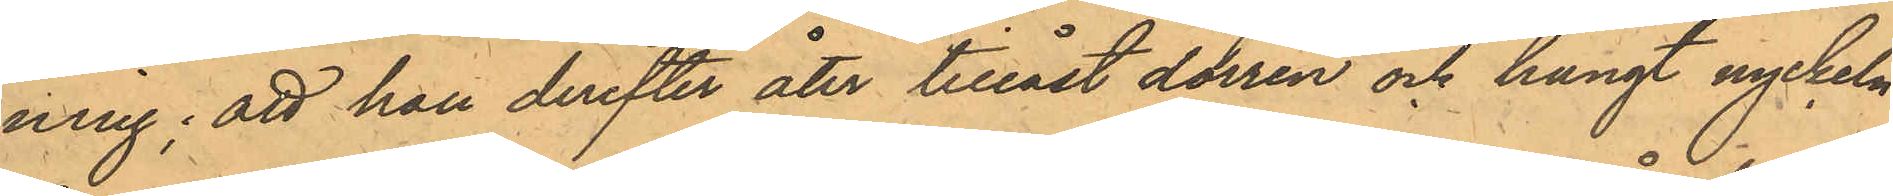ning; att han derefter åter tillåst dörren och hängt nyckeln
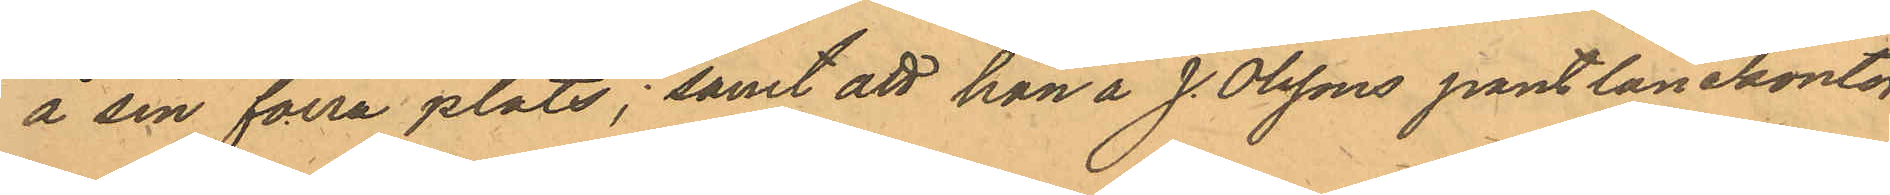å sin förra plats; samt att han å J. Olssons pantlånekontor
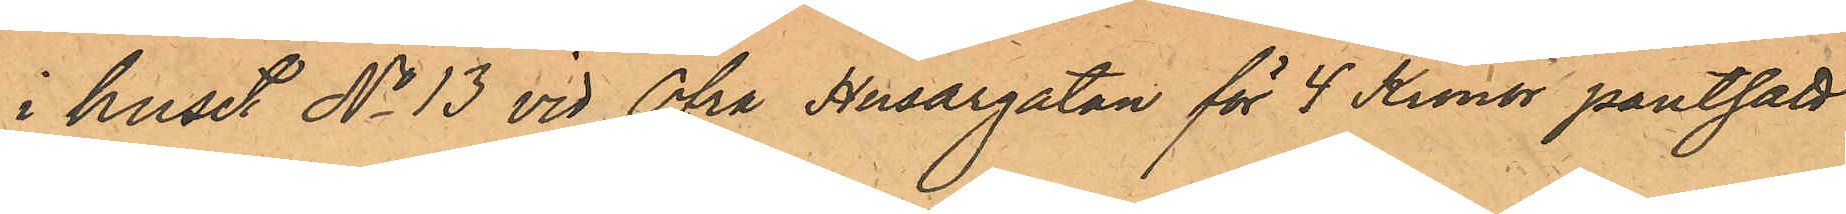i huset No 13 vid Öfra Husargatan för 4 Kronor pantsatt
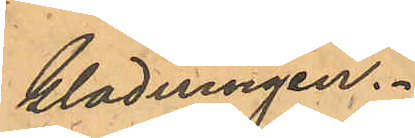klädningen.
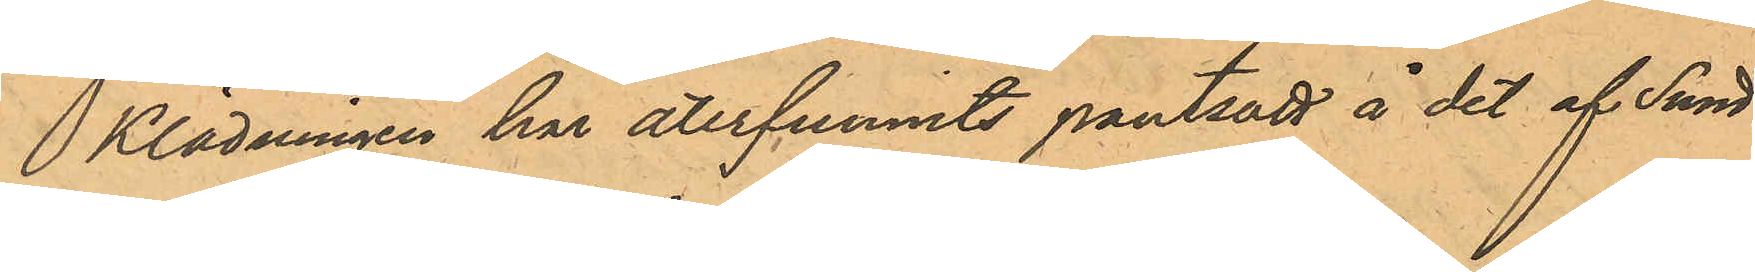Klädningen har återfunnits pantsatt å det af Sund¬
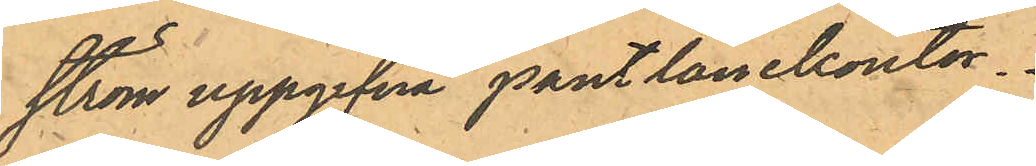ström uppgifna pantlånekontor.
